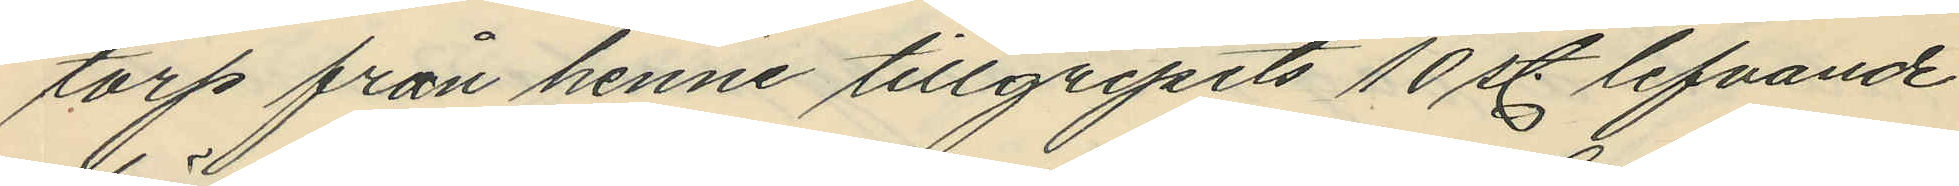torp från henne tillgripits 10 st. lefvande
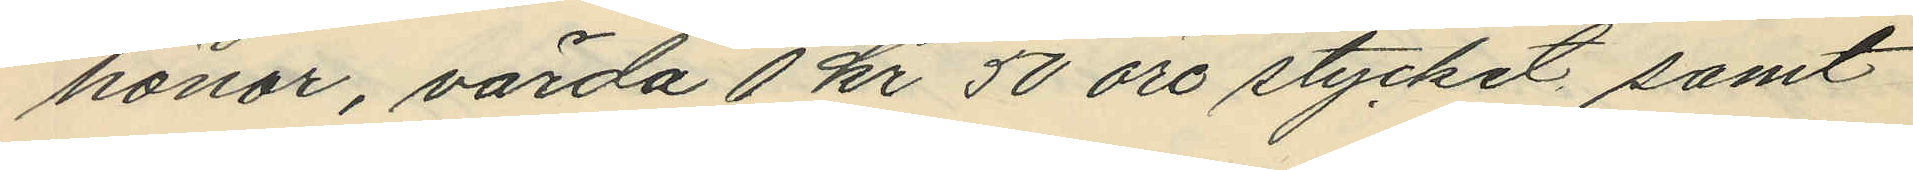hönor, värda 1 kr 50 öre stycket samt
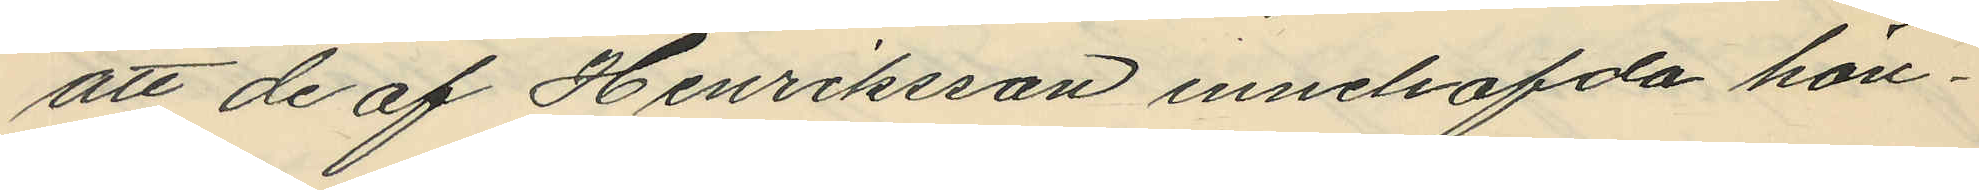att de af Henriksson innehafda hön¬
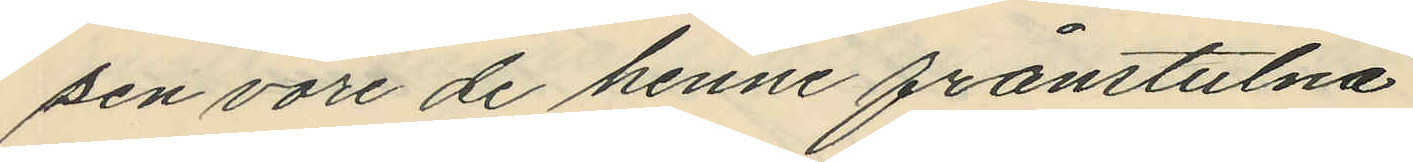sen vore de henne frånstulna.
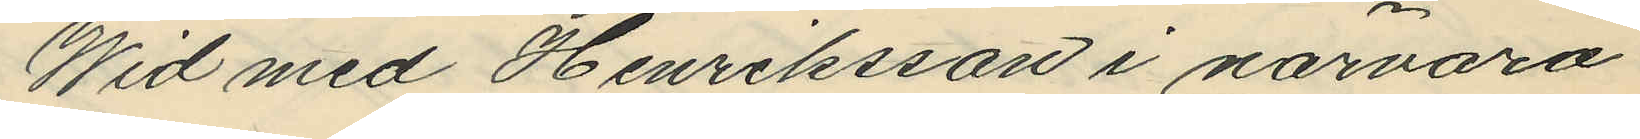Wid med Henriksson i närvaro
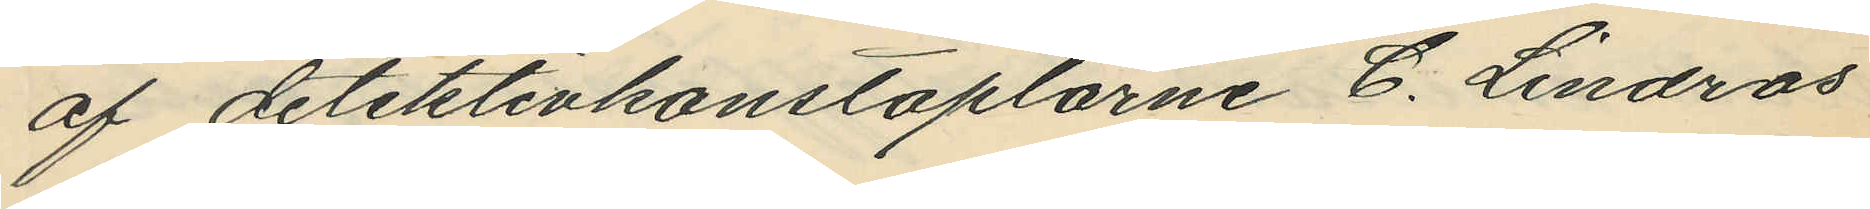af detektivkonstaplarne C. Lindros
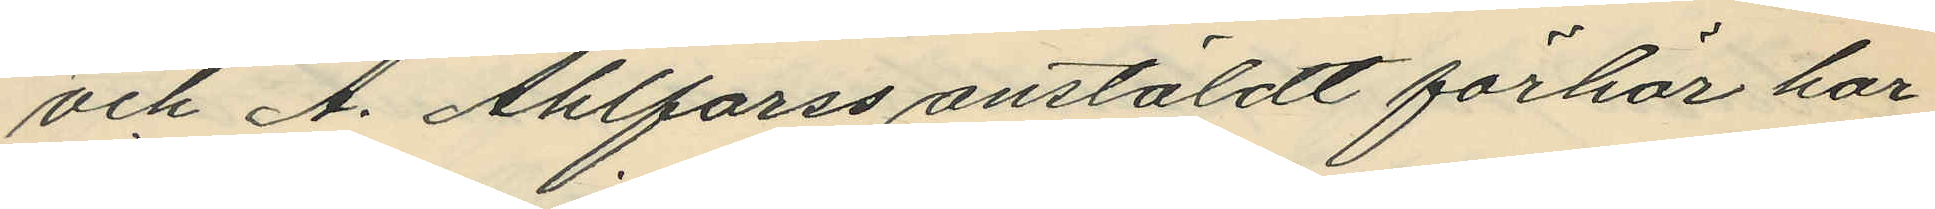och A. Ahlforss anstäldt förhör har
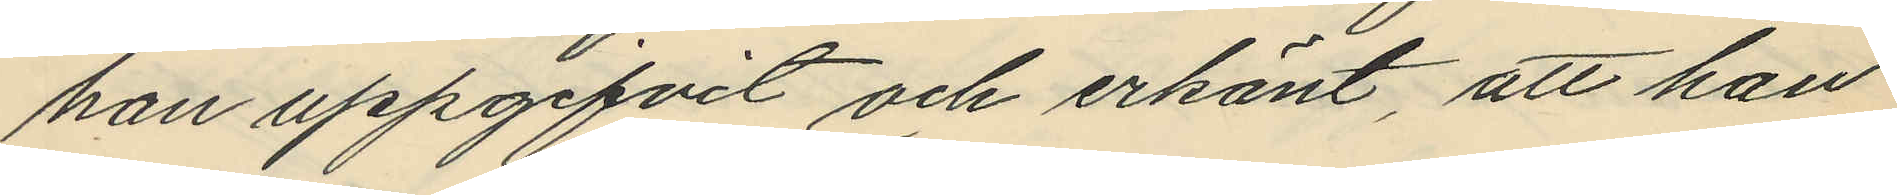han uppgifvit och erkänt, att han
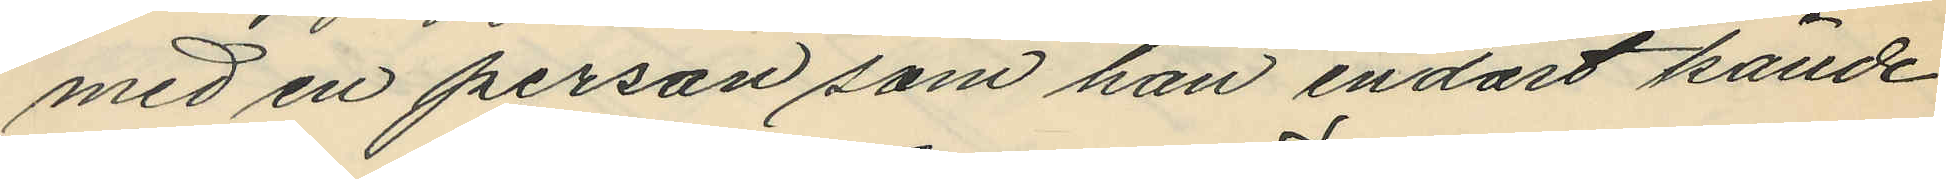med en person som han endast kände
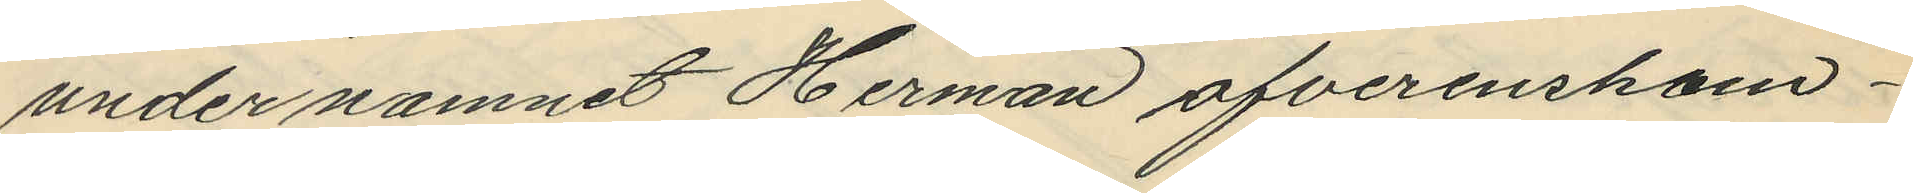under namnet Herman öfverenskom¬
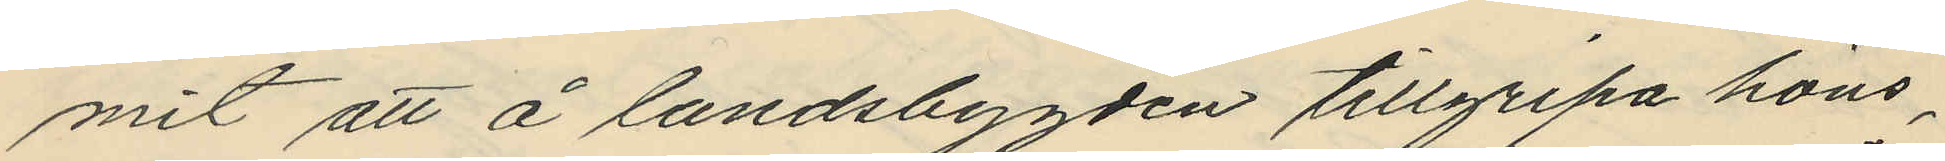mit att å landsbygden tillgripa höns,
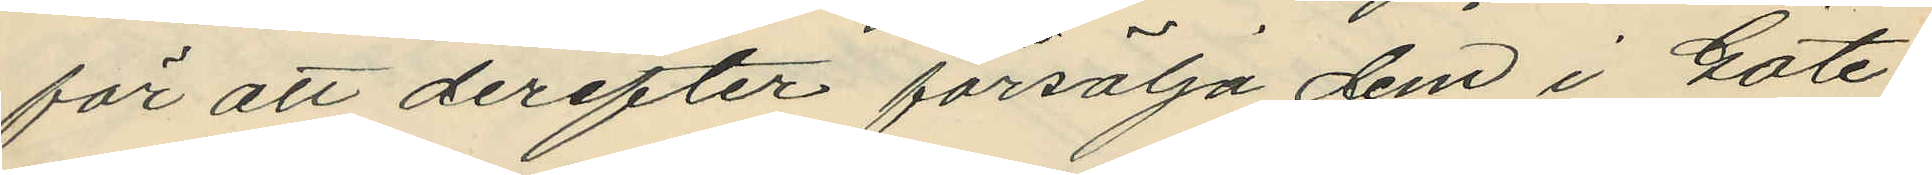för att derefter försälja dem i Göte¬
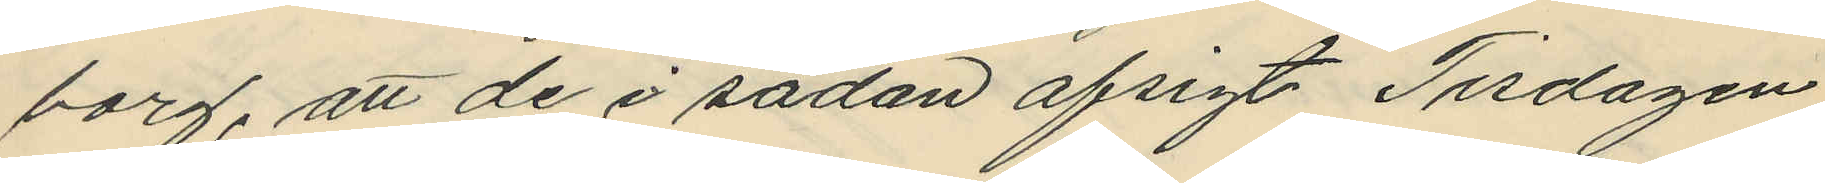borg, att de i sådan afsigt Tisdagen
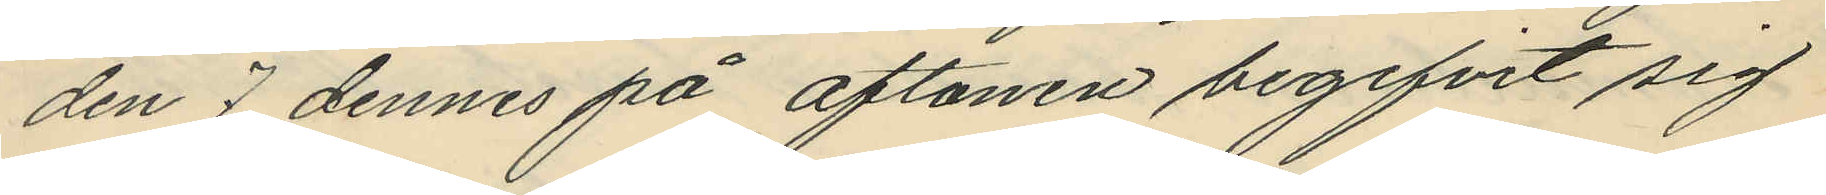den 7 dennes på aftonen begifvit sig
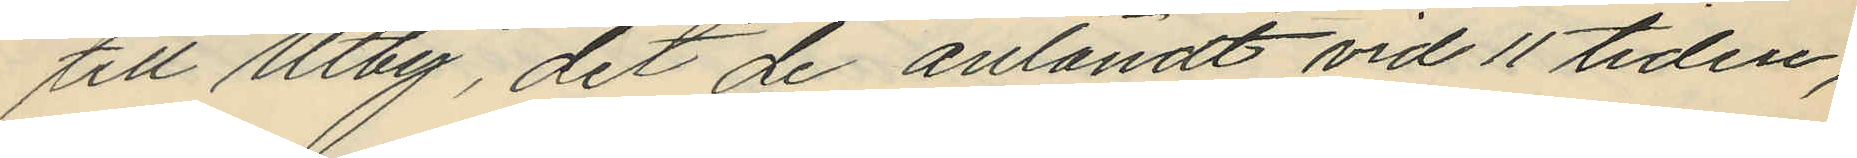till Utby, dit de anländt vid 11 tiden,
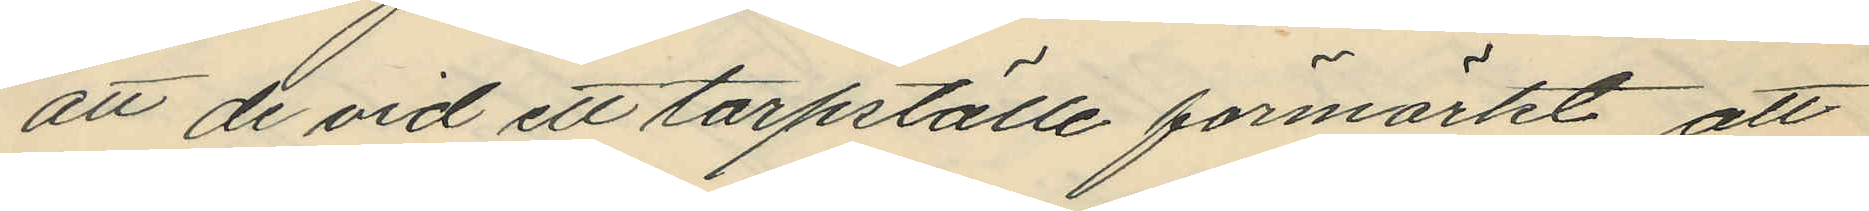att de vid ett torpställe förmärkt att
